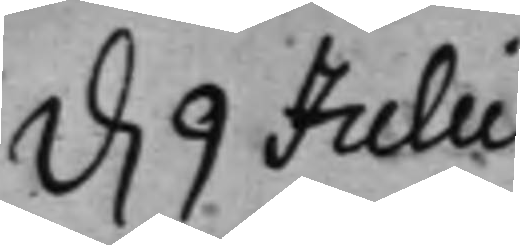d. 9 Julii
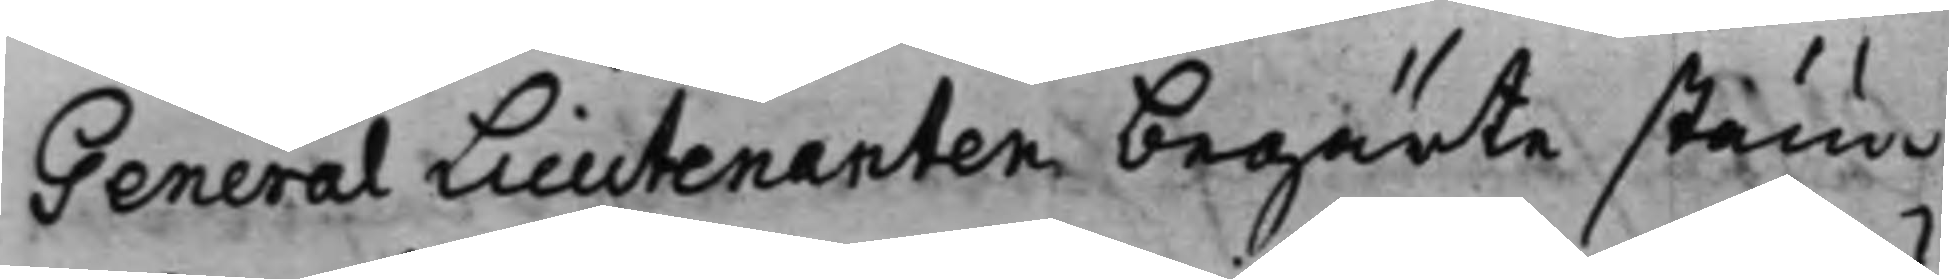General Lieutenanten begärte stäm¬
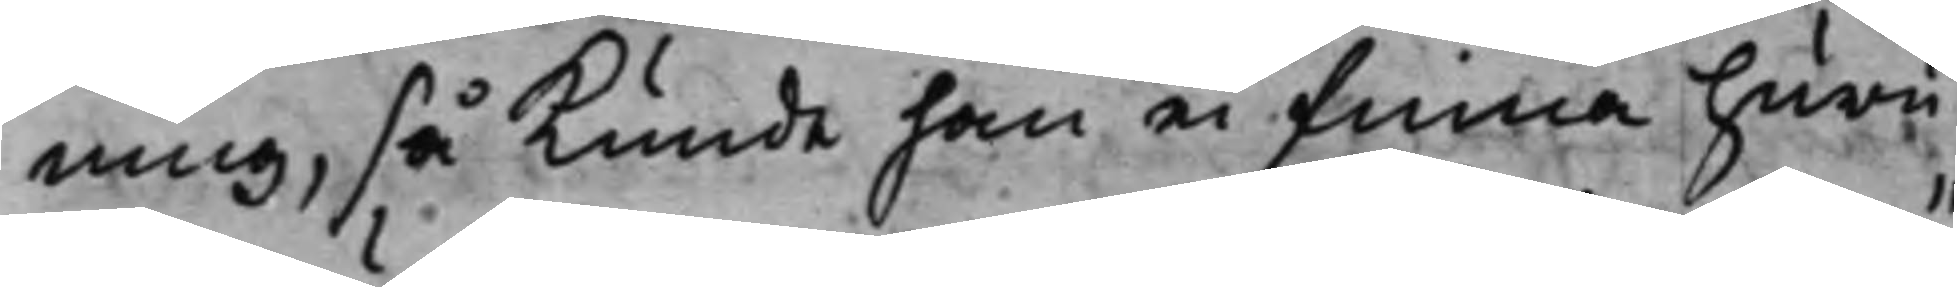ning, så kunde han ei finna huru¬
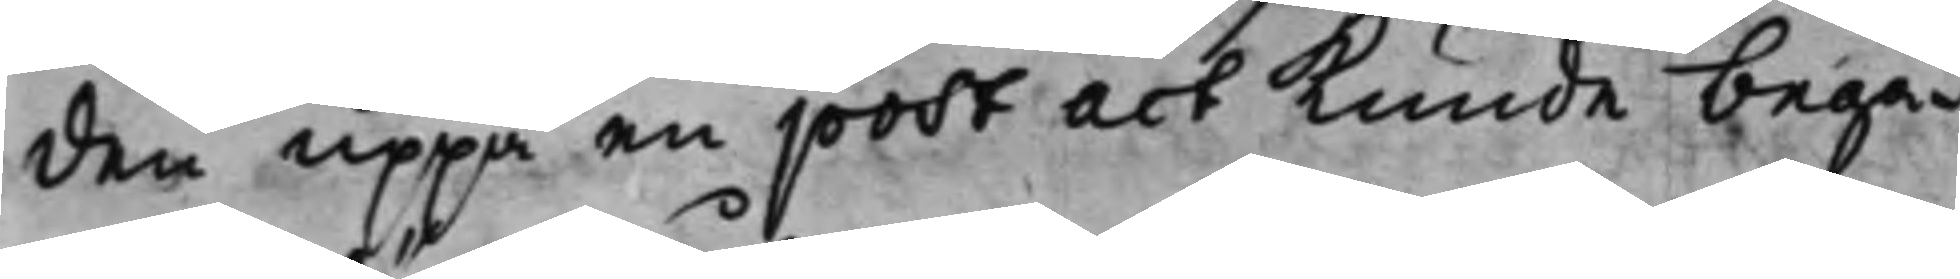den uppå en post act kunde begä¬
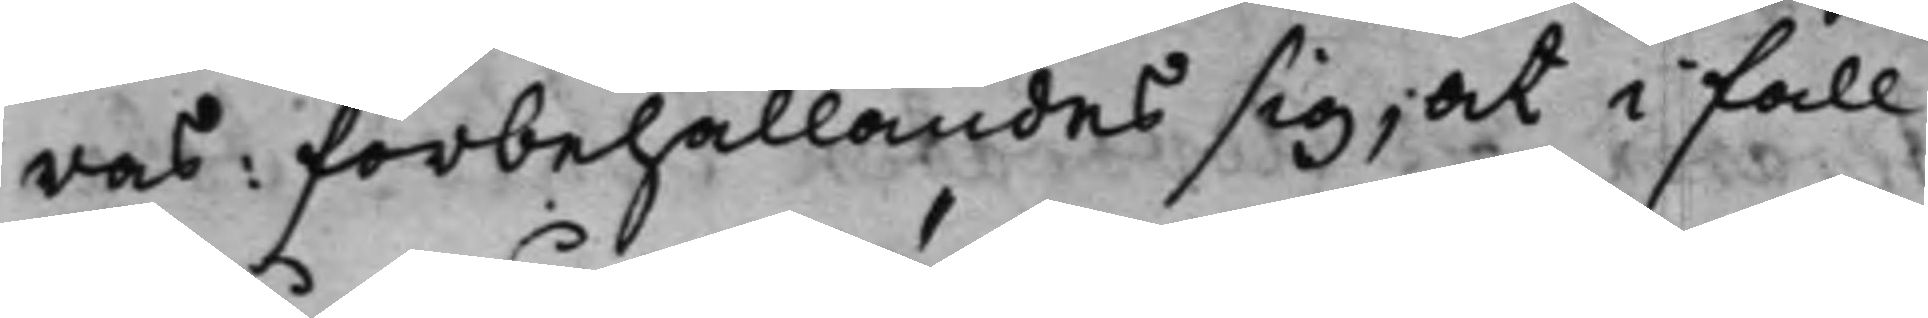ras: förbehållandes sig, at i fall
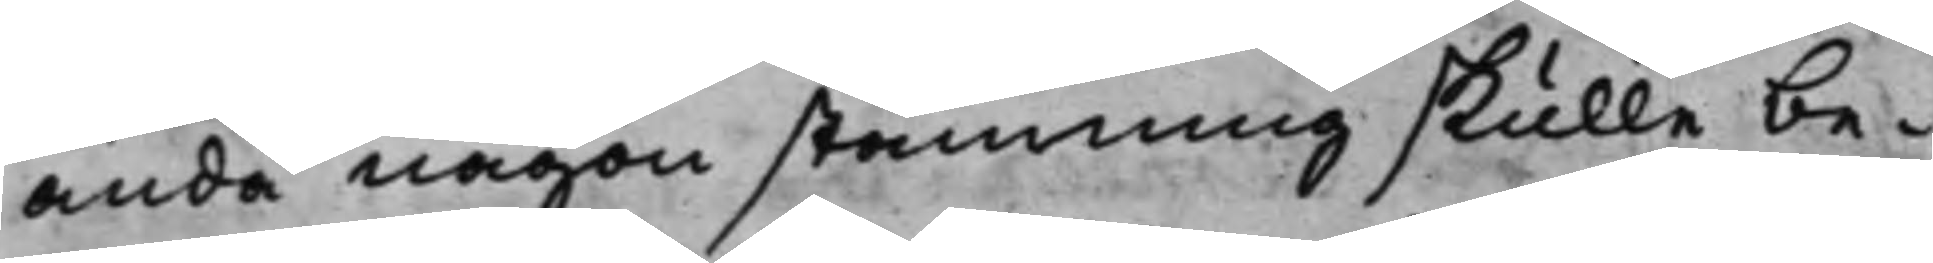ändå någon stämning skulle be¬
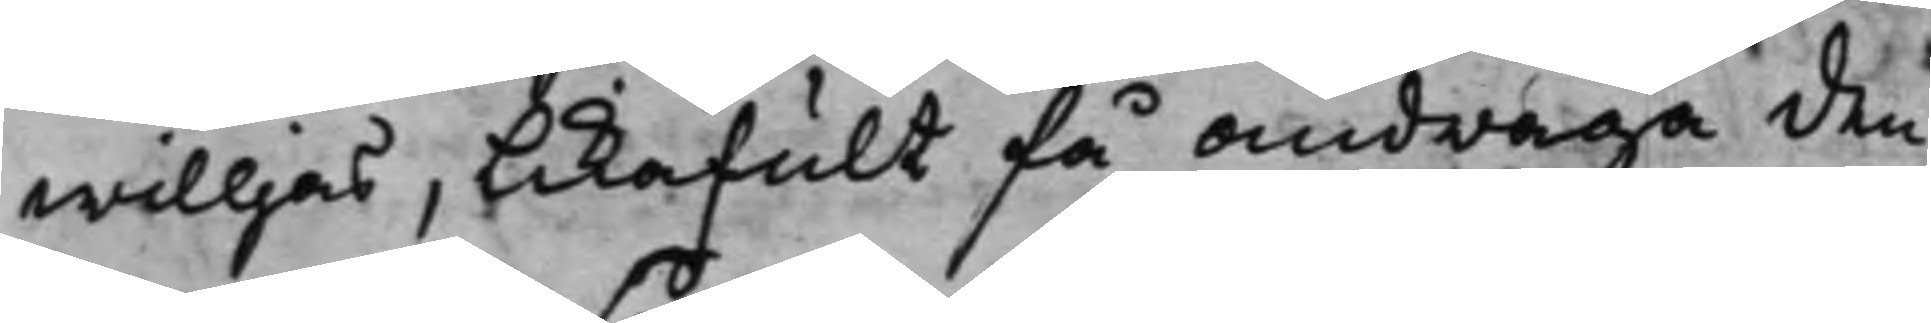willjas, likafult få andraga den
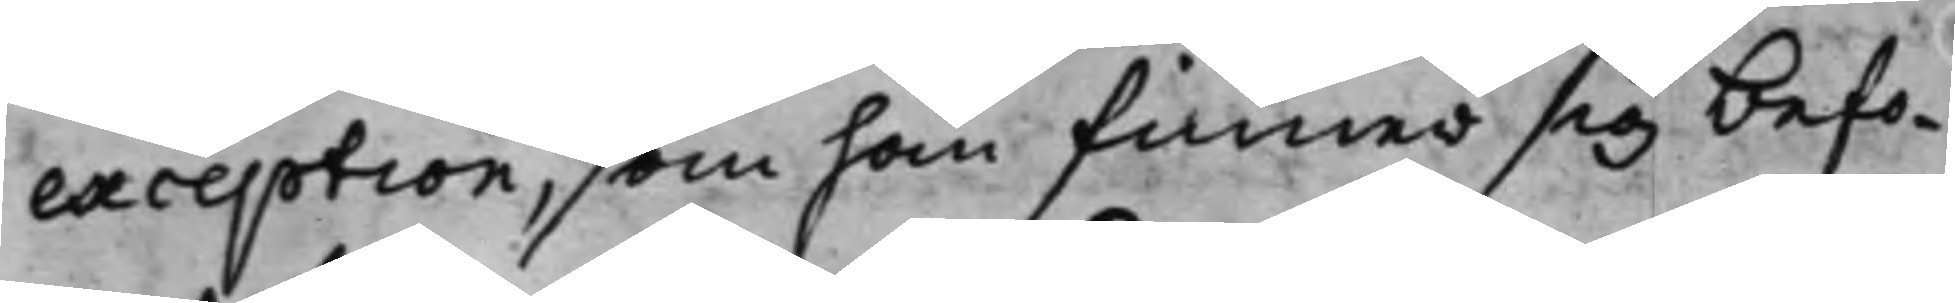exception, som han finner sig befo¬
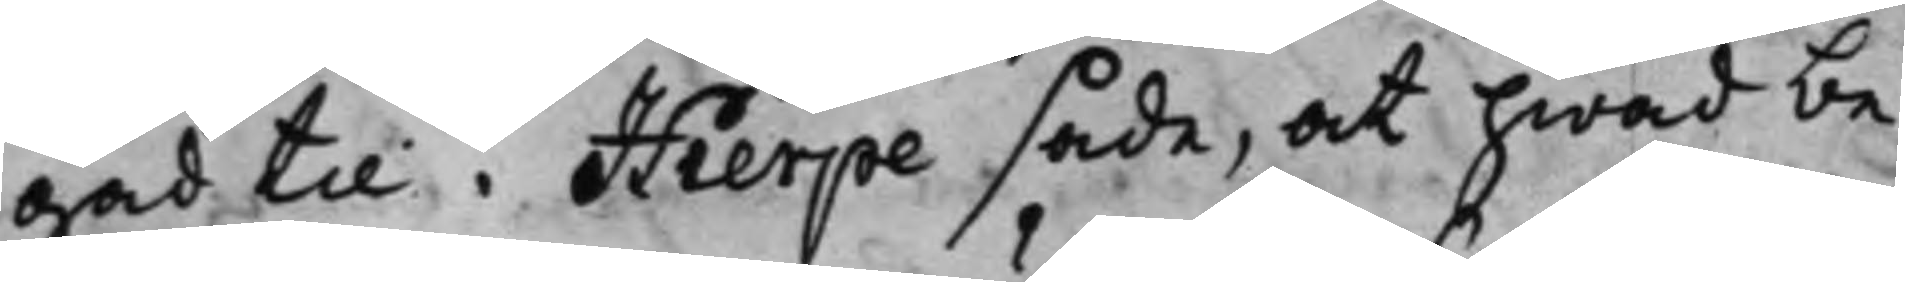gad till. Hierpe sade, at hwad be¬
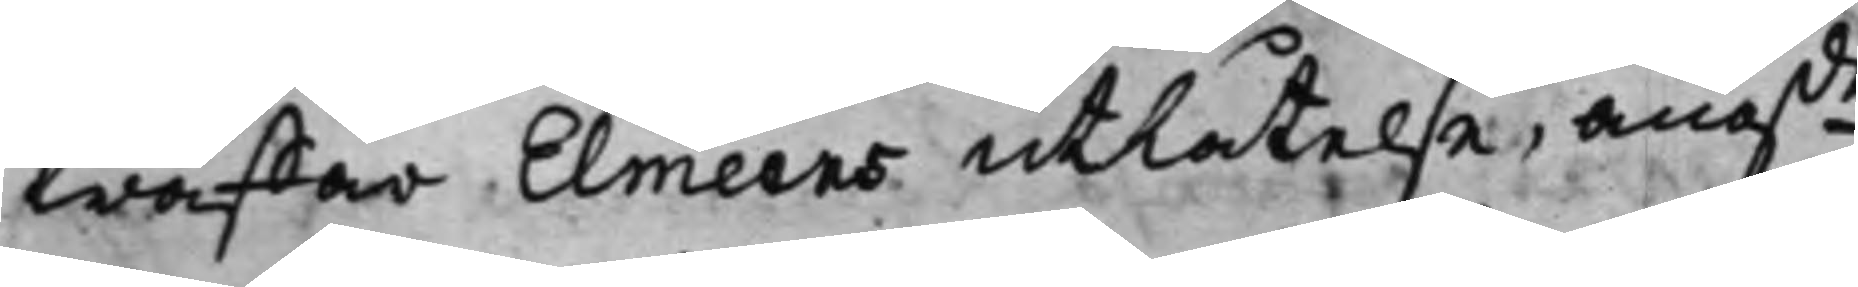träffar Elmeens utlåtelse, ang.de 
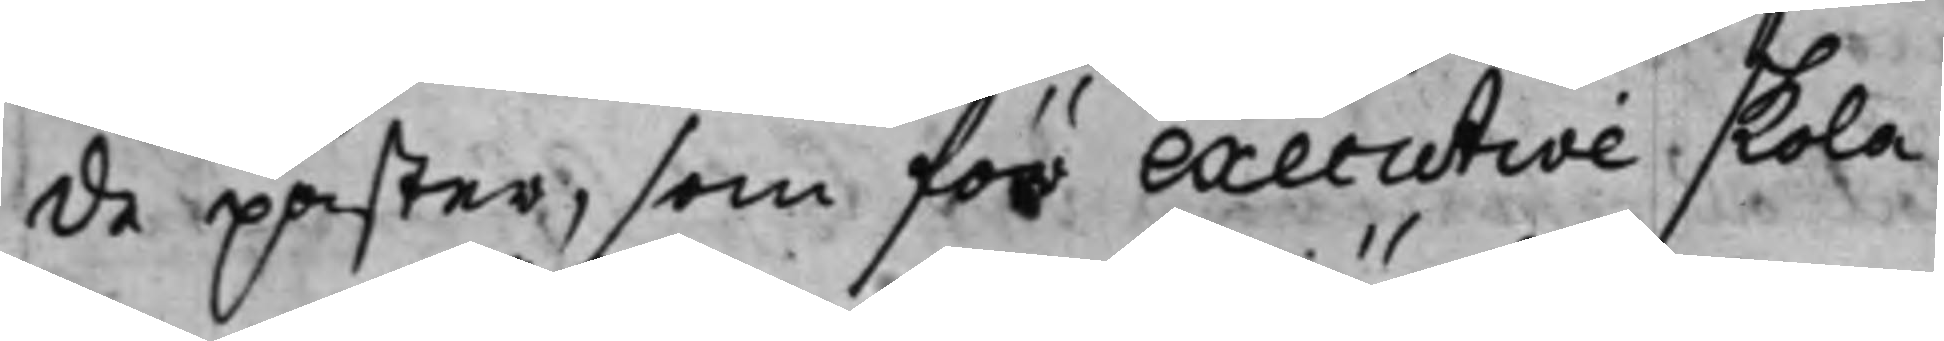de påster, som för executive skola
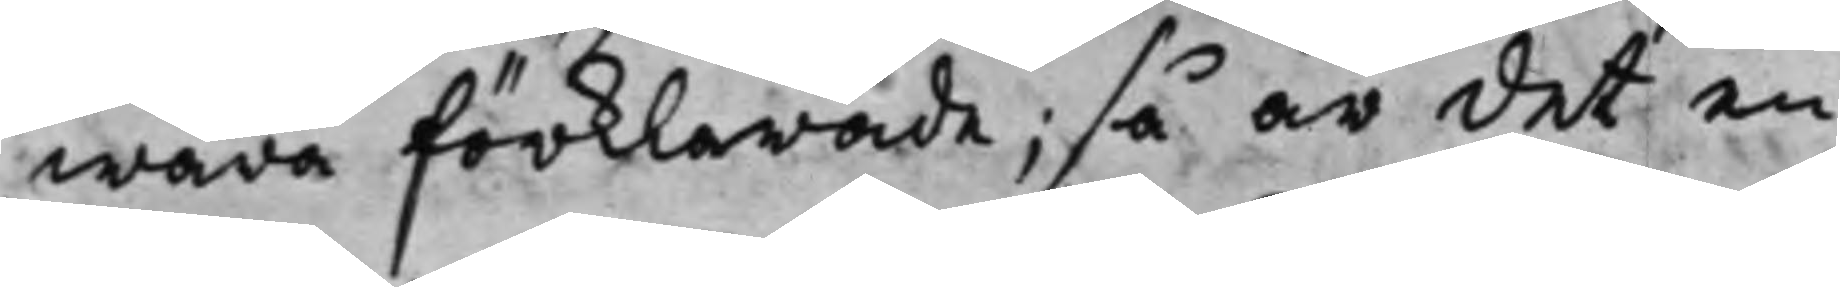wara förklarade; så är det en
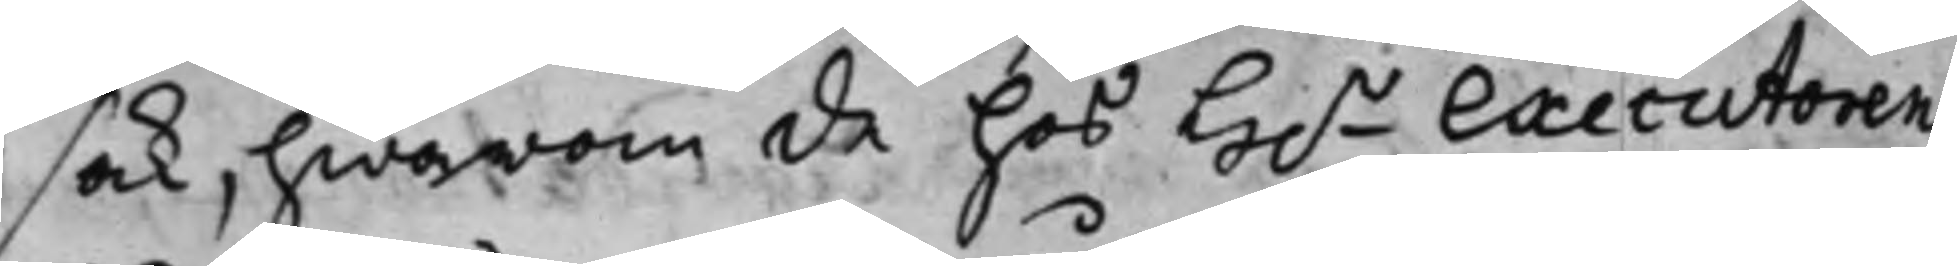sak, hwarom de hos H.r Executoren 
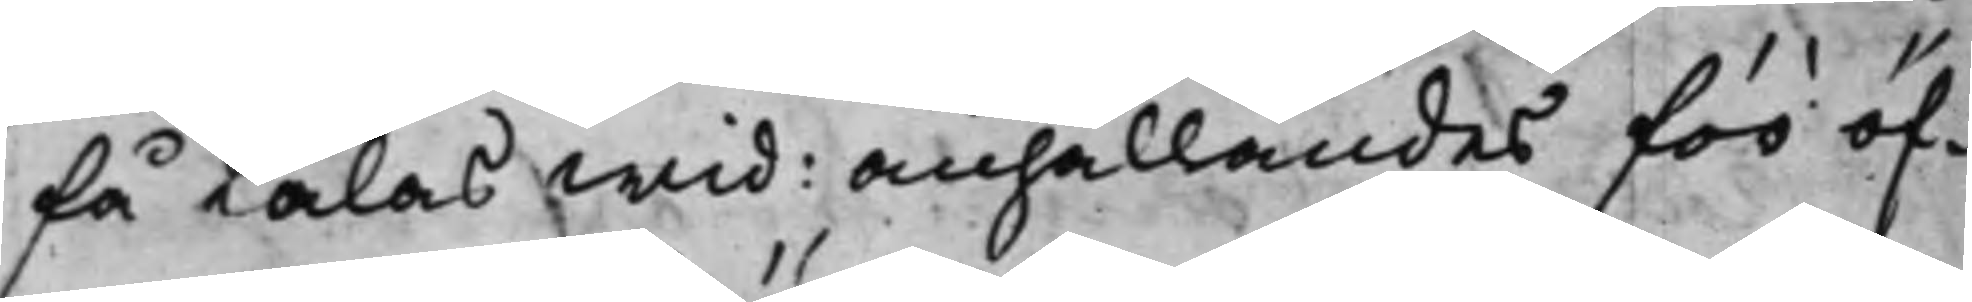få talas wid: anhållandes för öf¬
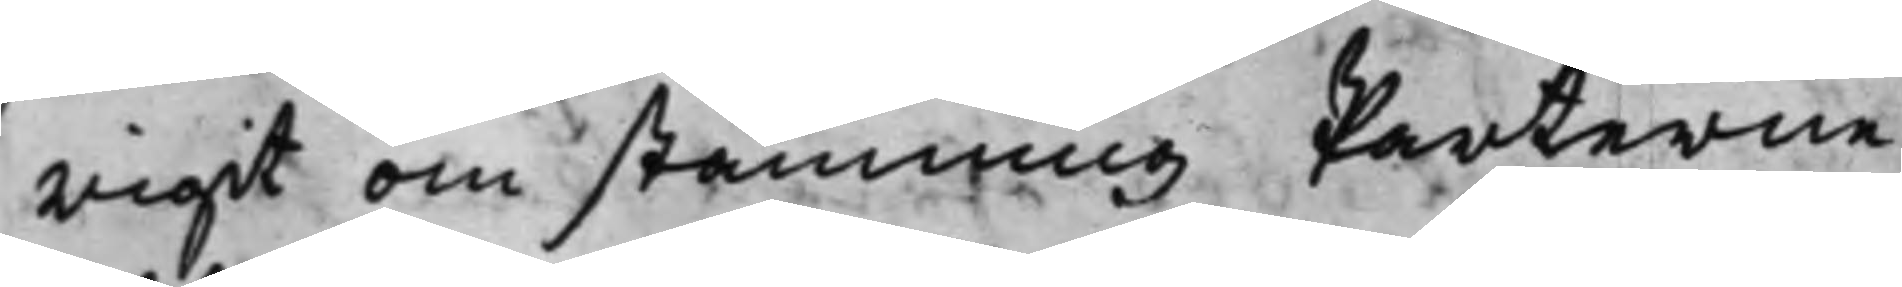rigit om stämning Parterne
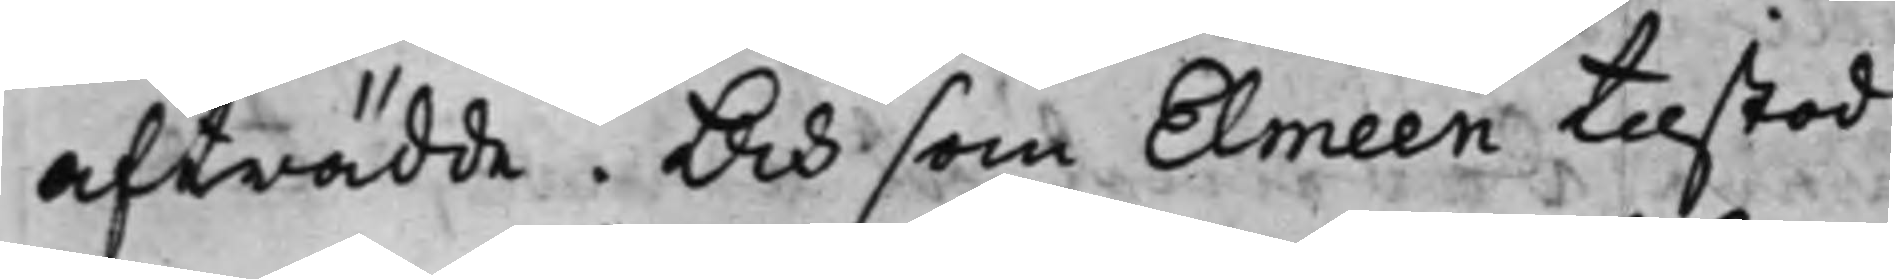afträdde. Och som Elmeen tilstod
